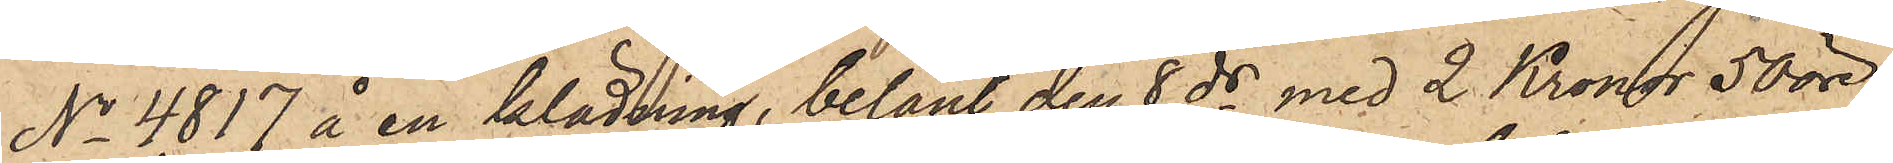No 4.817 å en klädning, belånt den 8 ds med 2 Kronor 50 öre,
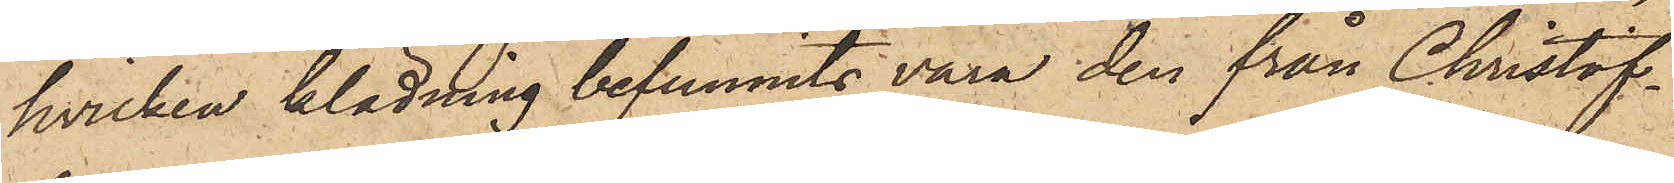hvilken klädning befunnits vara den från Christof¬
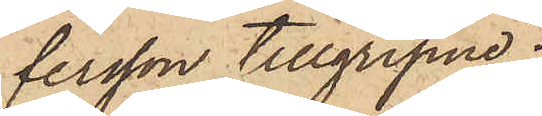tersson tillgripne;
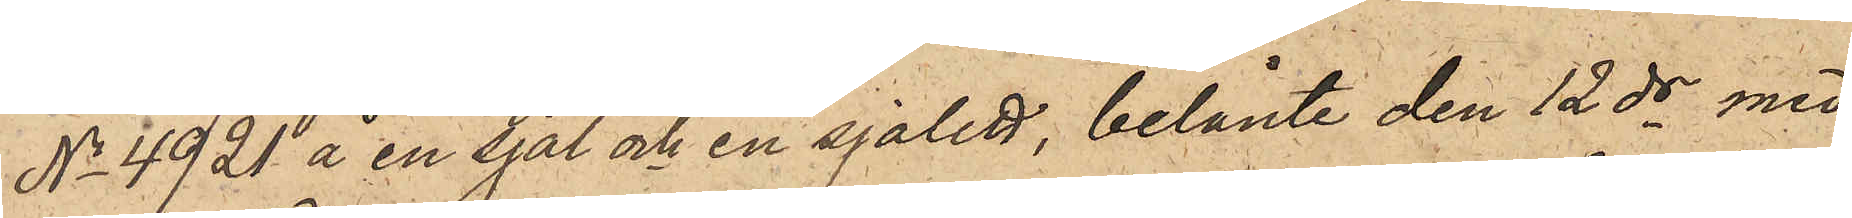No 4921 å en sjal och en sjalett, belånte den 12 ds med
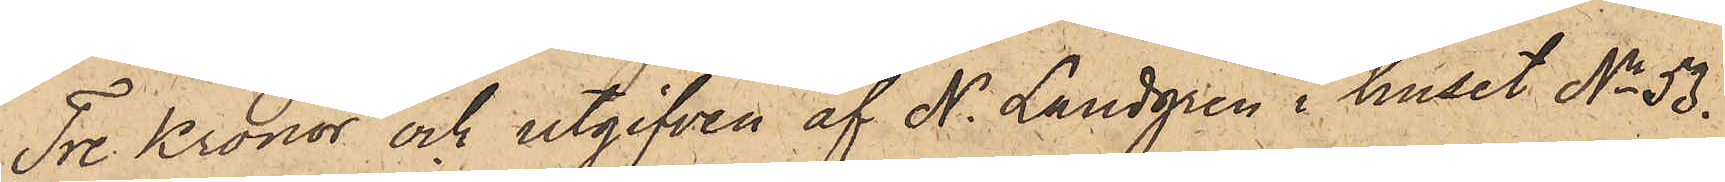Tre Kronor och utgifven af N. Landgren i huset No 53
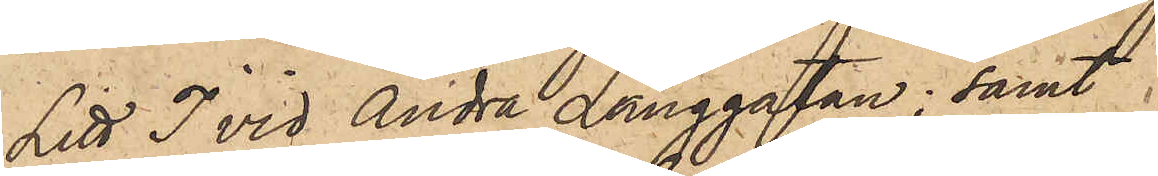Litt. J vid Andra Långgatan; samt
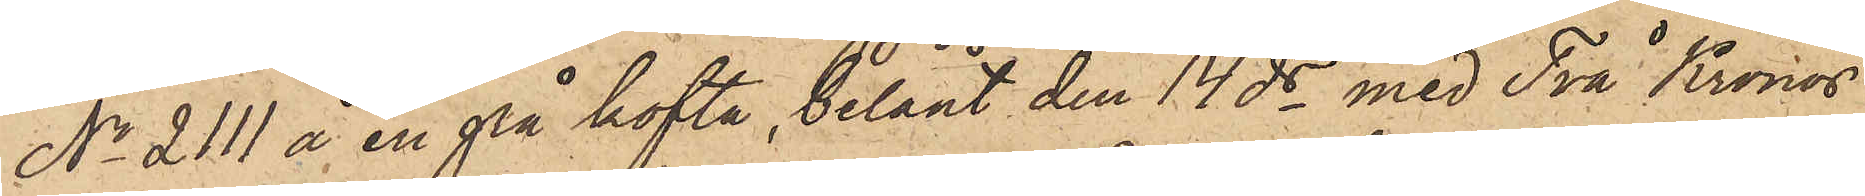No 2111 å en grå kofta, belånt den 14 ds med Två Kronor
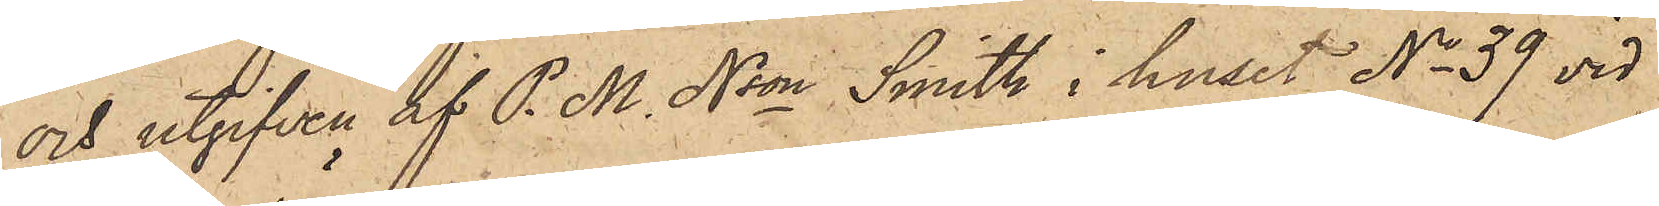och utgifven af P. M. Nson Smith i huset No 53  vid
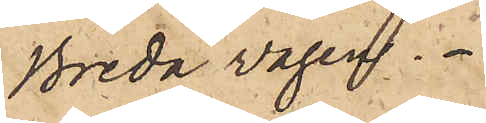Breda vägen.
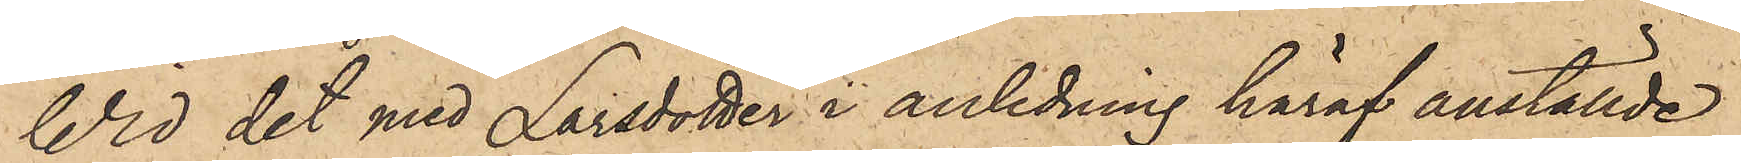Wid det med Larsdotter i anledning häraf anställde
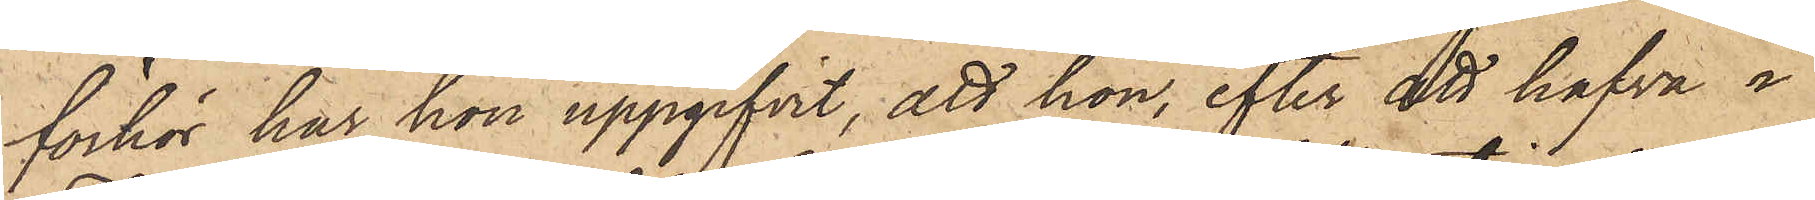förhör har hon uppgifvit, att hon, efter att hafva i
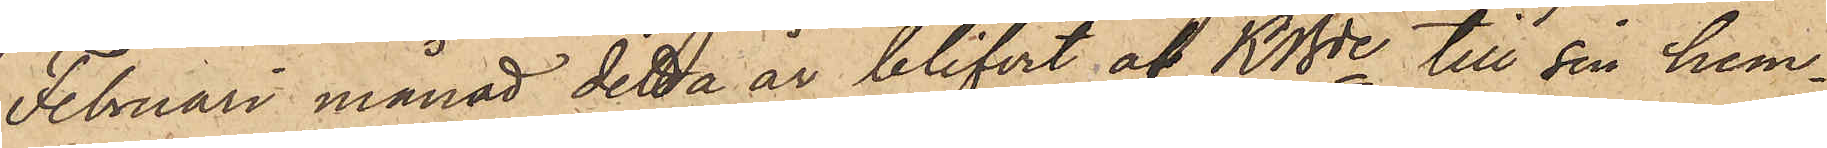Februari månad detta år blifvit af KBde till sin hem¬
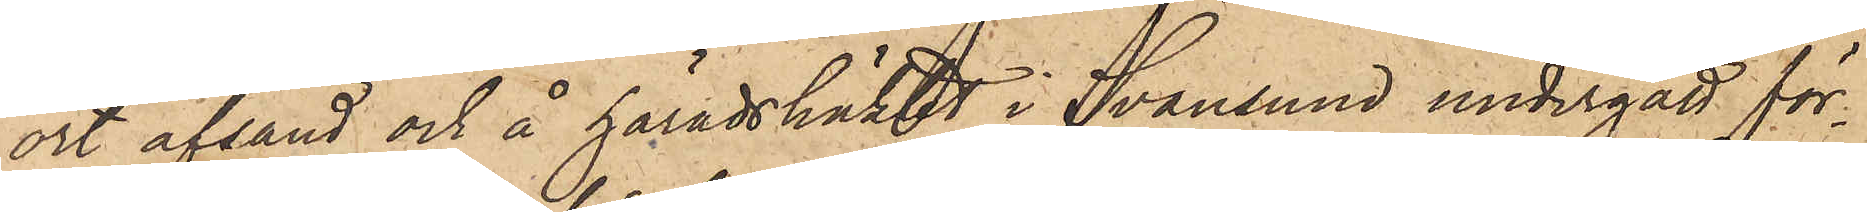ort afsänd och å häradshäktet i Svansund undergått för¬
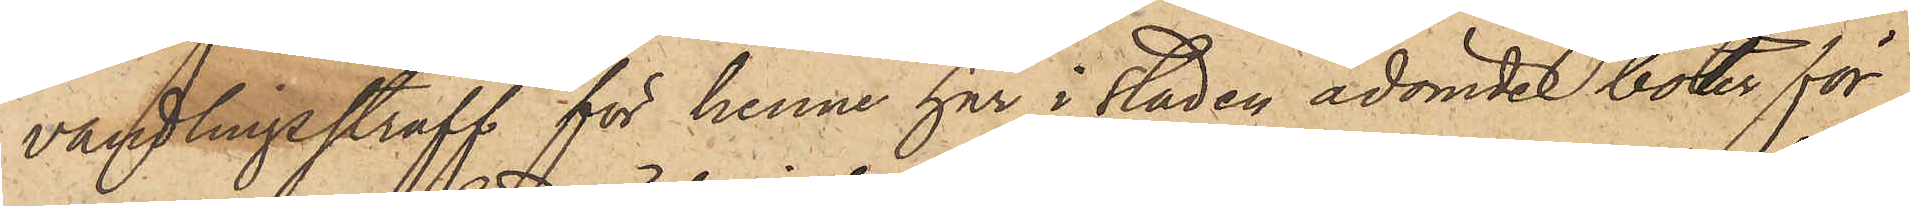vandlingsstraff för henne här i staden ådömde böter för
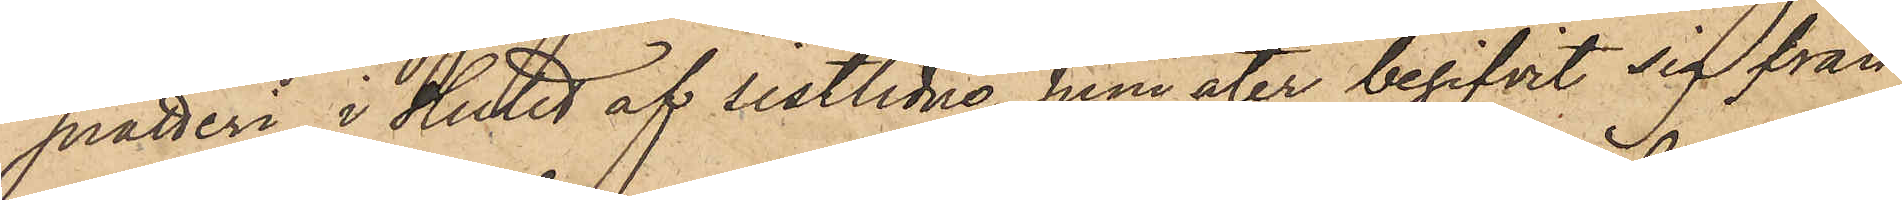snatteri, i slutet af sistlidne Juni åter begifvit sig från
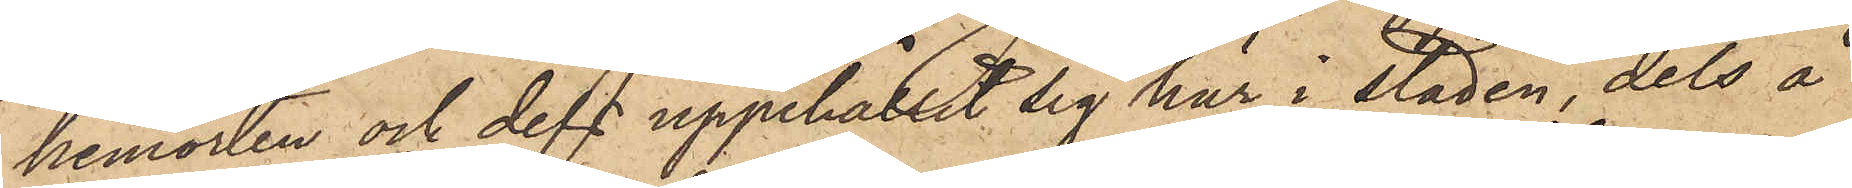hemorten och dels uppehållit sig här i staden, dels å
